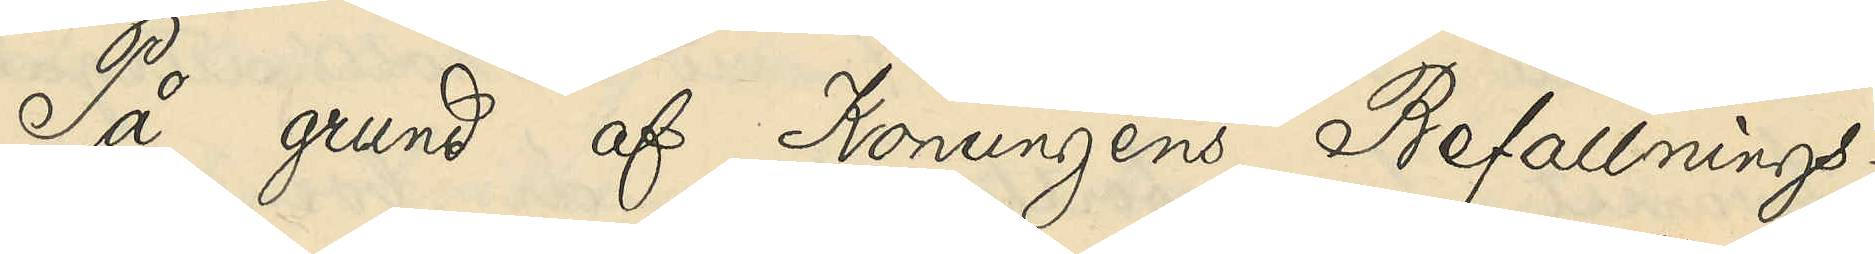På grund af Konungens Befallnings¬
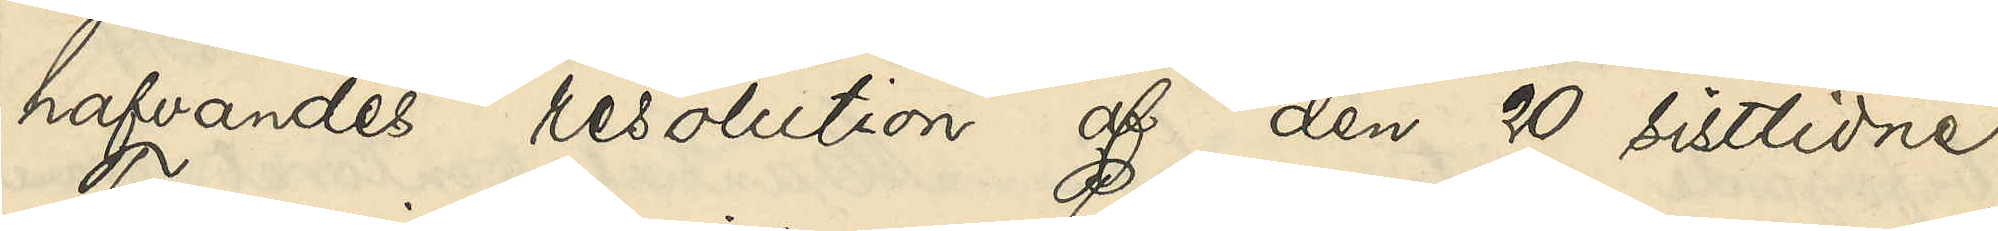hafvandes resolution af den 20 sistlidne
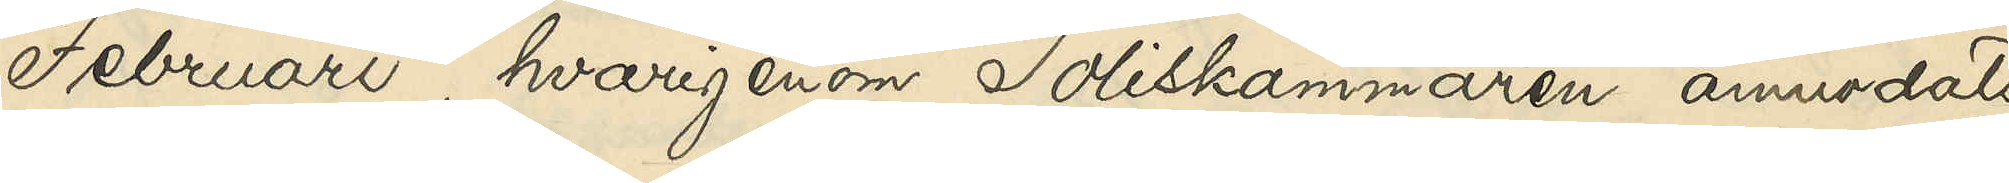Februari, hvarigenom Poliskammaren anmodats
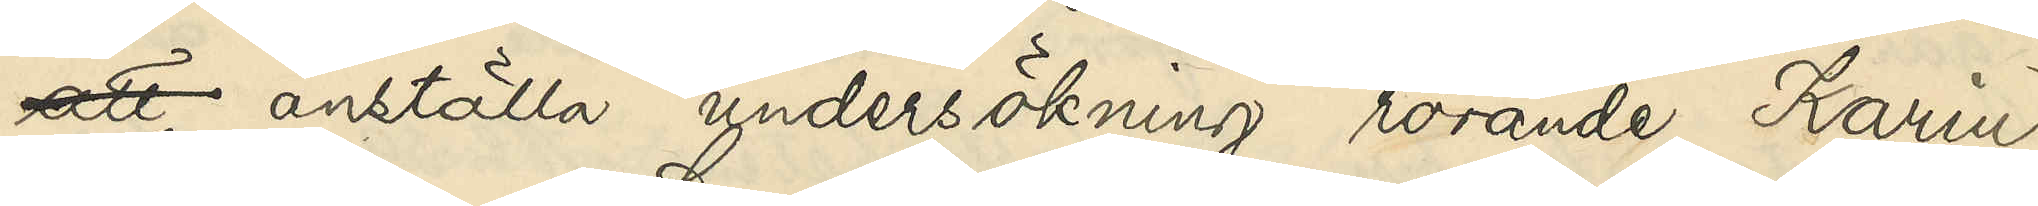att anställa undersökning rörande Karin
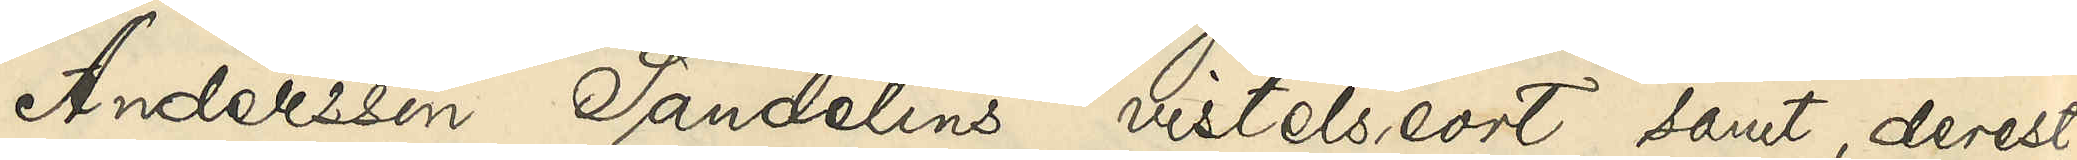Andersson Sandelins vistelseort samt, derest
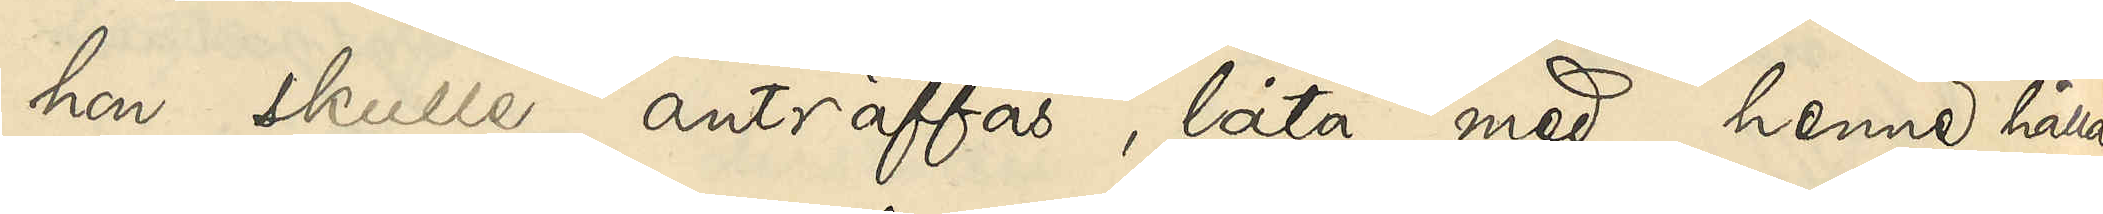hon skulle anträffas, låta med henne hålla
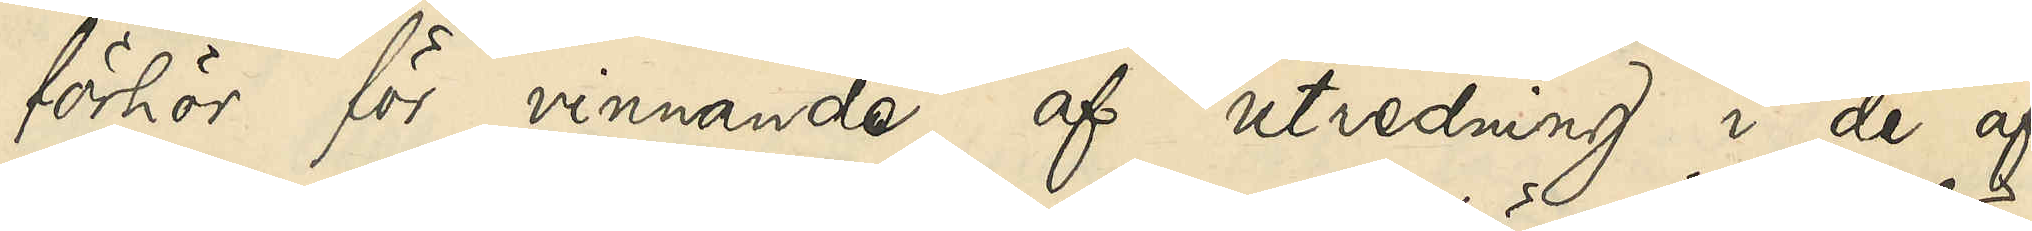förhör för vinnande af utredning i de af
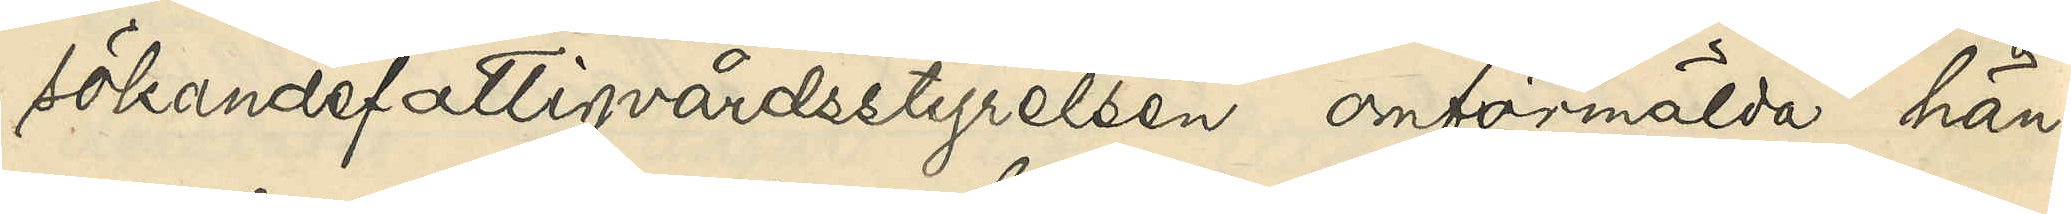sökande fattigvårdsstyrelsen omförmälda hän¬
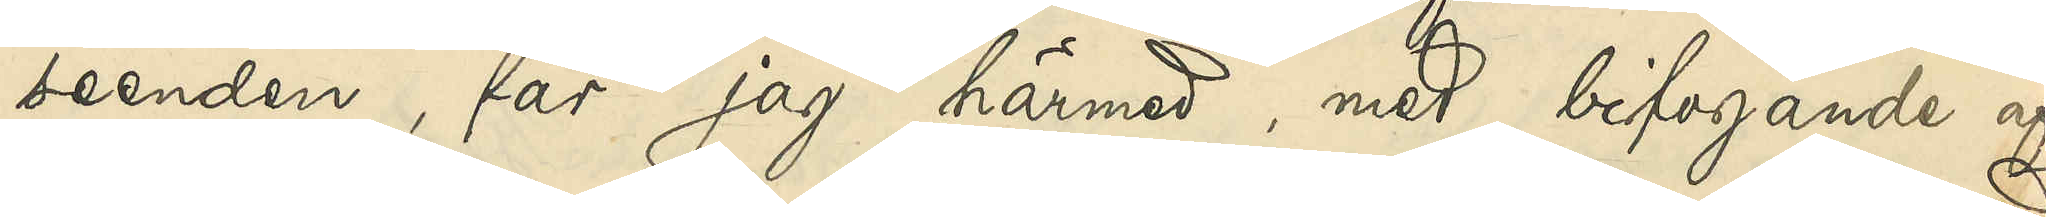seenden, får jag härmed, med bifogande af
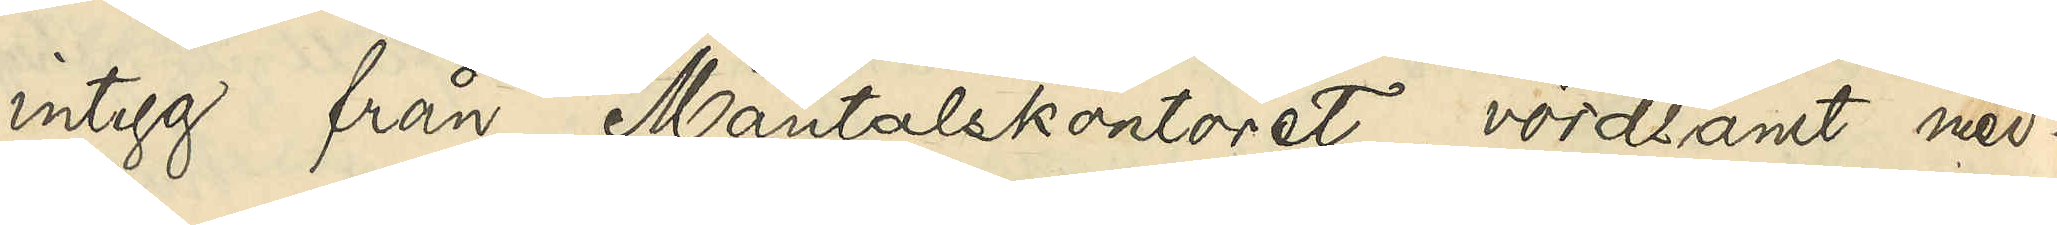intyg från Mantalskontoret, vördsamt med¬
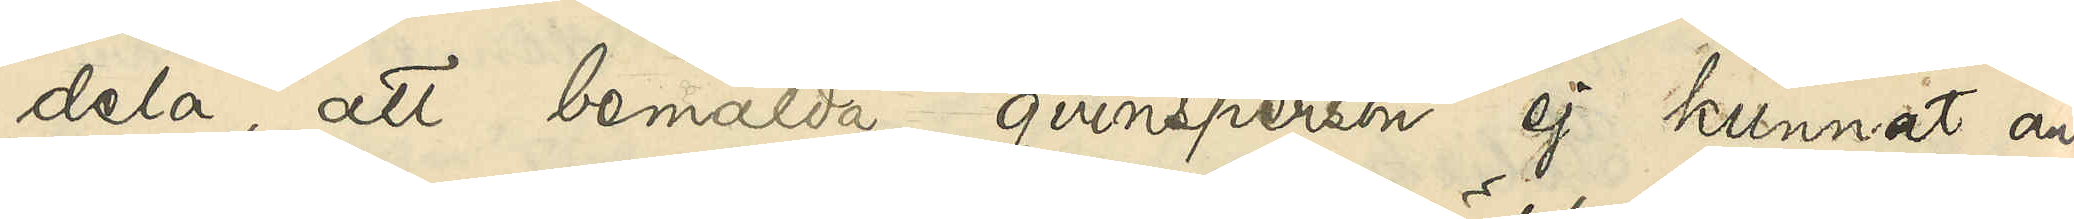dela, att bemälda qvinsperson ej kunnat an¬
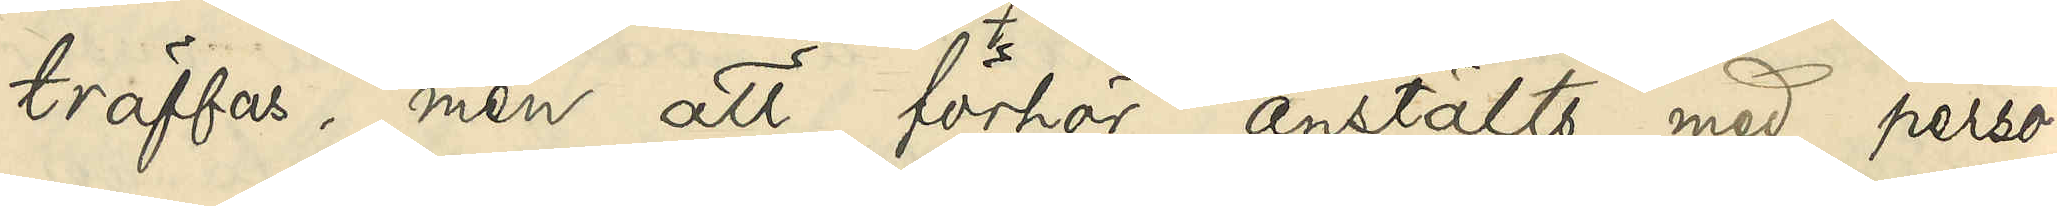träffas, men att förhör anstälts med perso¬
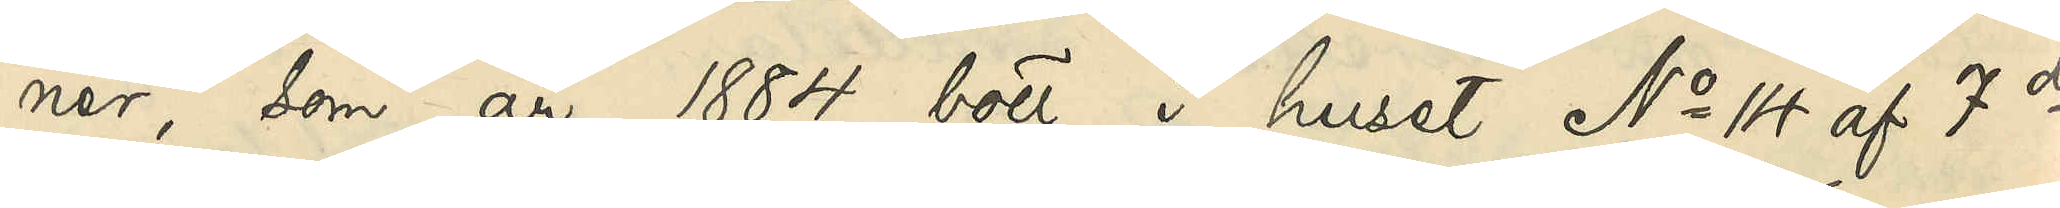ner, som år 1884 bott i huset No 14 af 7de
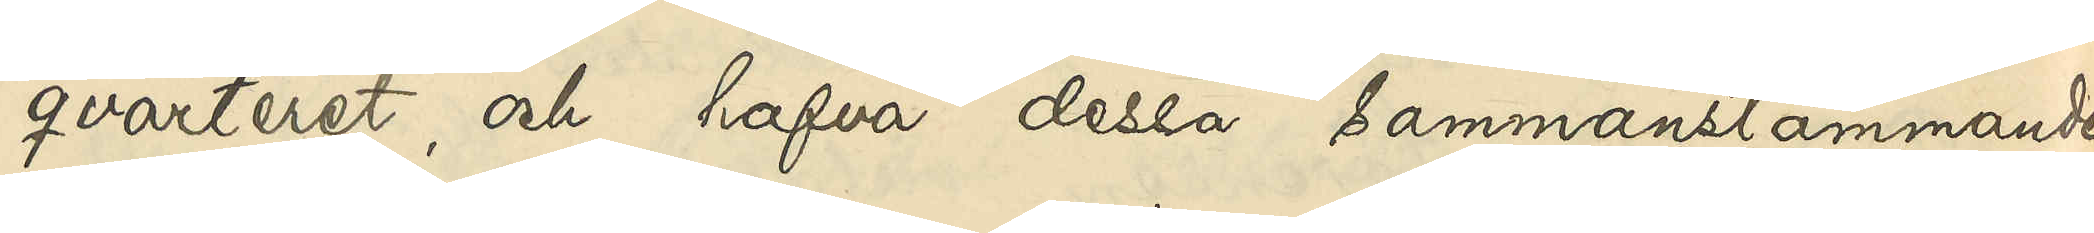qvarteret, och hafva dessa sammanstämmande
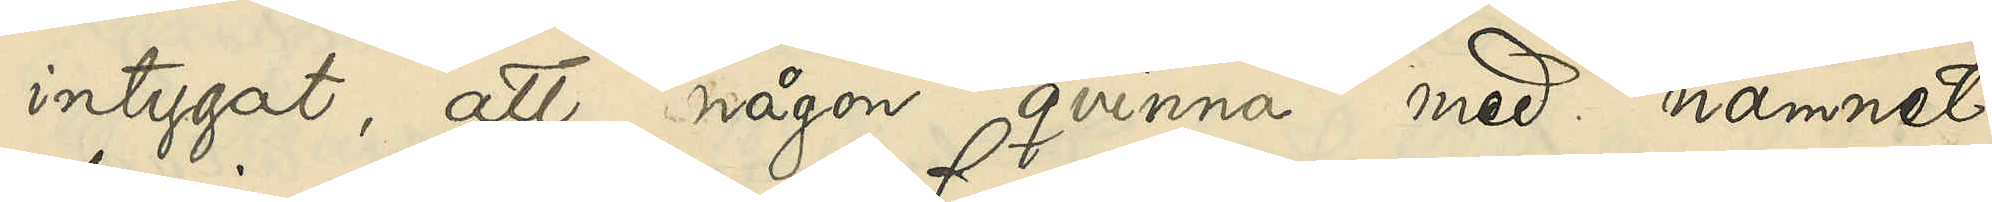intygat, att någon qvinna med namnet
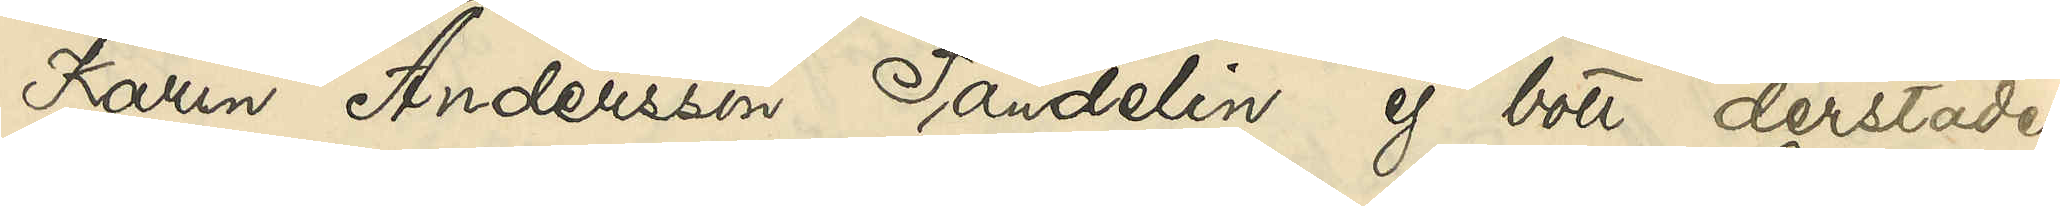Karin Andersson Sandelin ej bott derstädes.
